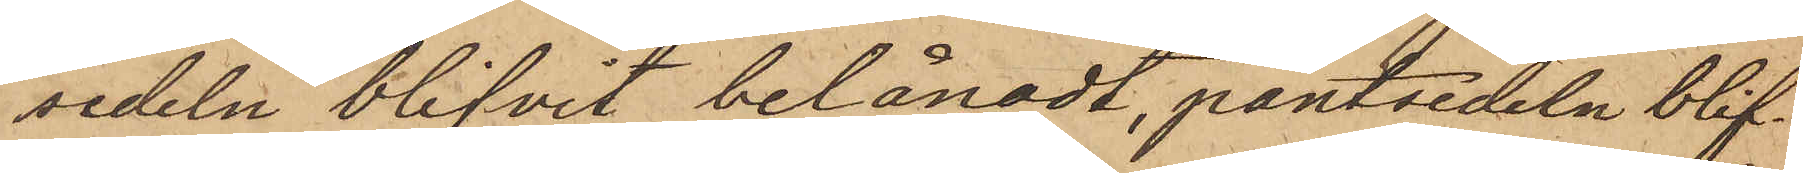sedeln blifvit belånadt, pantsedeln blif¬
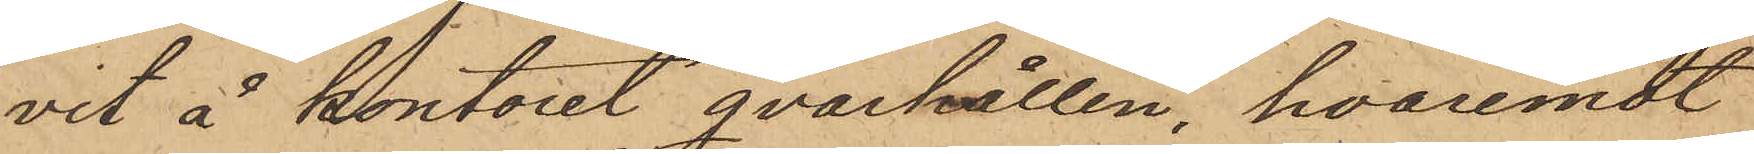vit å kontoret qvarhållen, hvaremot
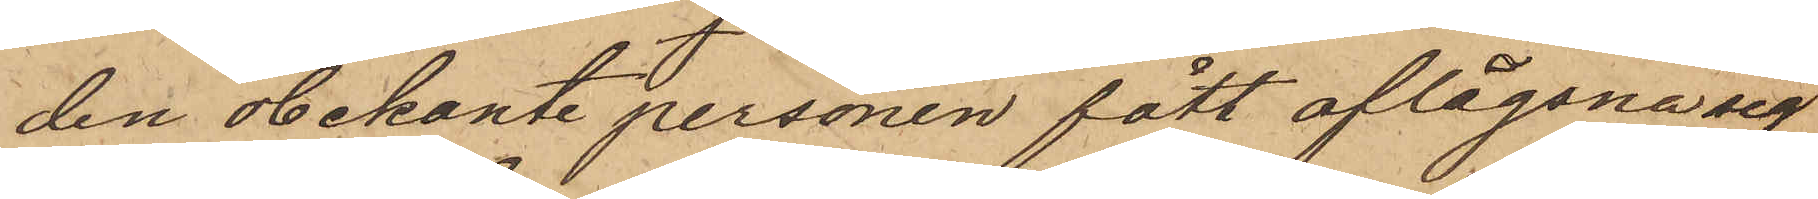den obekante personen fått aflägsna sig
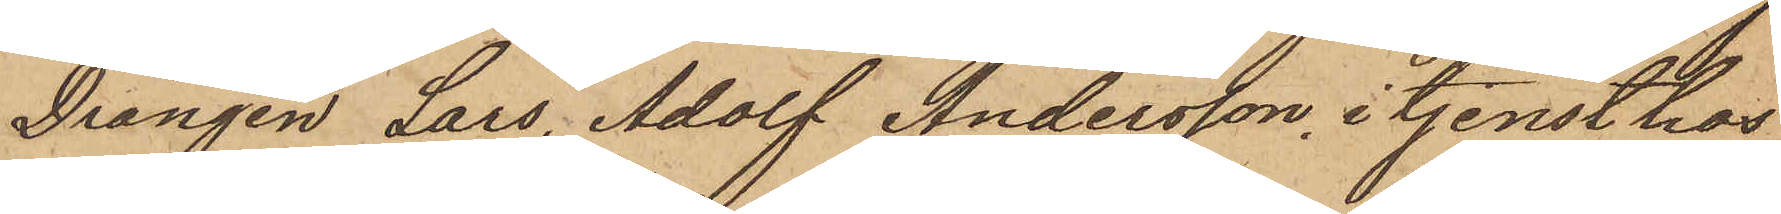Drängen Lars Adolf Andersson, i tjenst hos
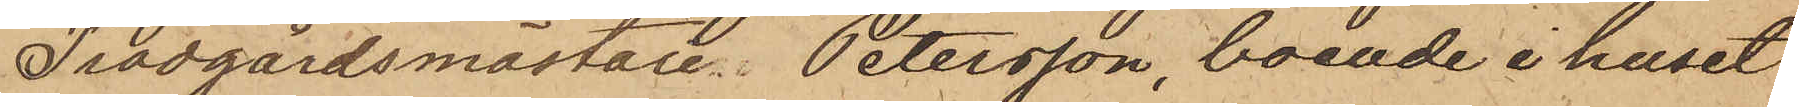Trädgårdsmästare Petersson, boende i huset
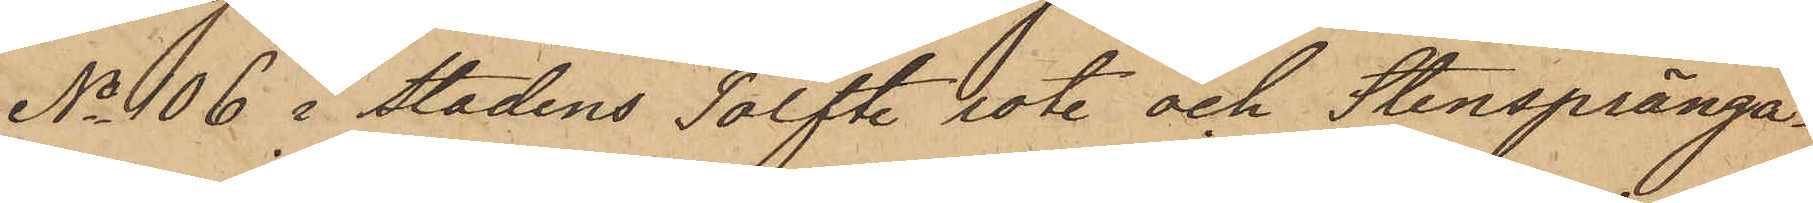No 106 i stadens Tolfte rote och Stenspränga¬
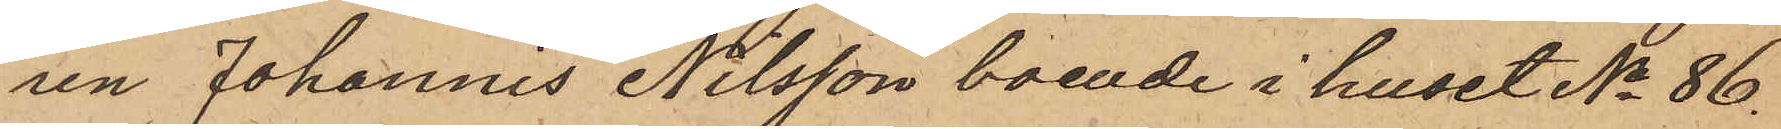ren Johannis Nilsson, boende i huset No 86.
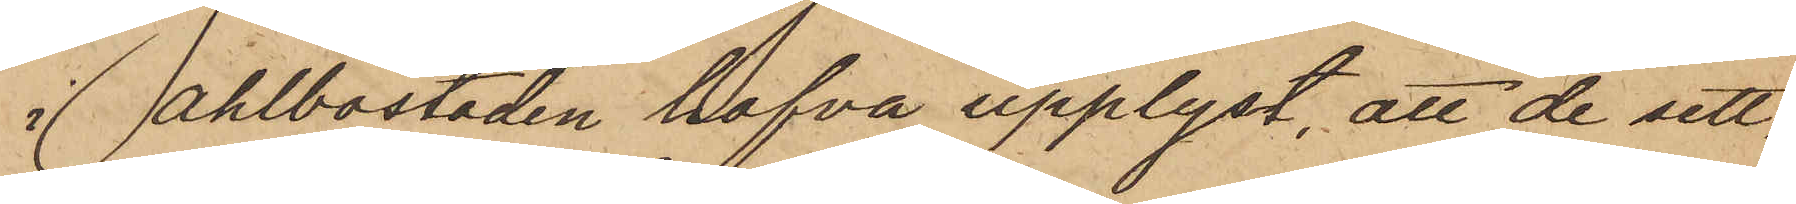i Ahlbostaden hafva upplyst, att de sett
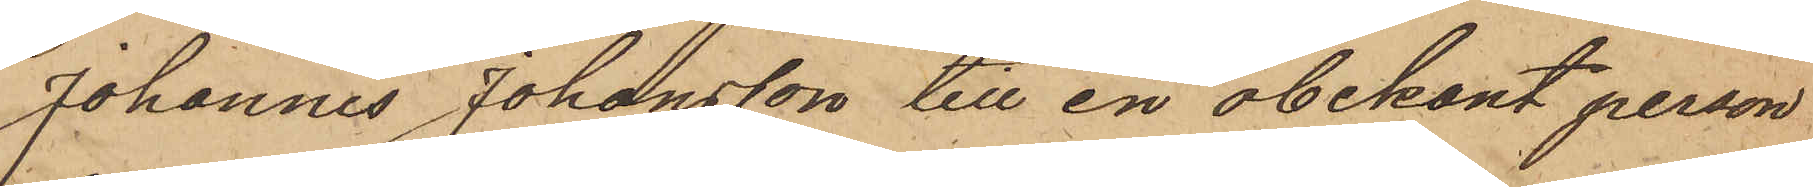Johannis Johansson till en obekant person
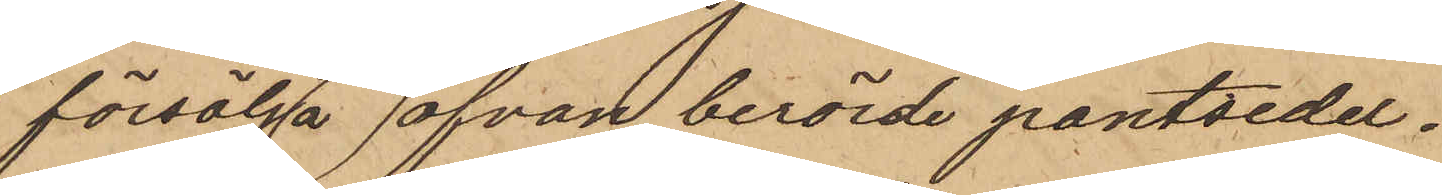försälja ofvan berörde pantsedel.
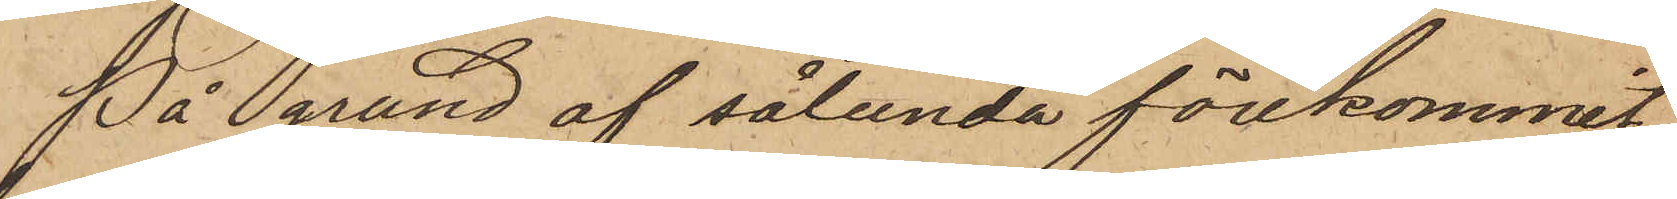På grund af sålunda förekommit,
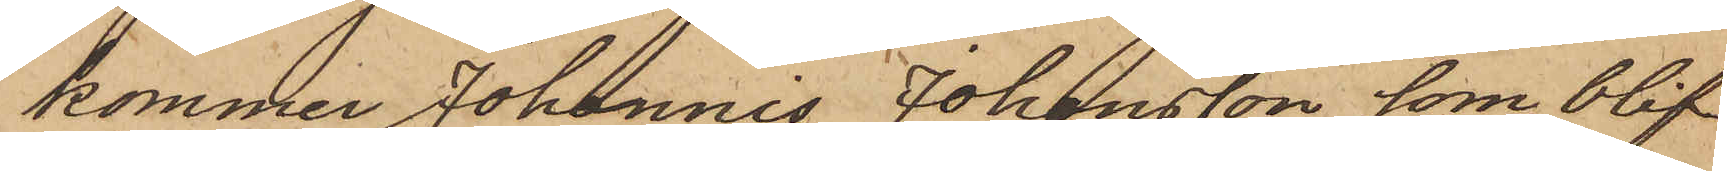kommer Johannis Johansson, som blif¬
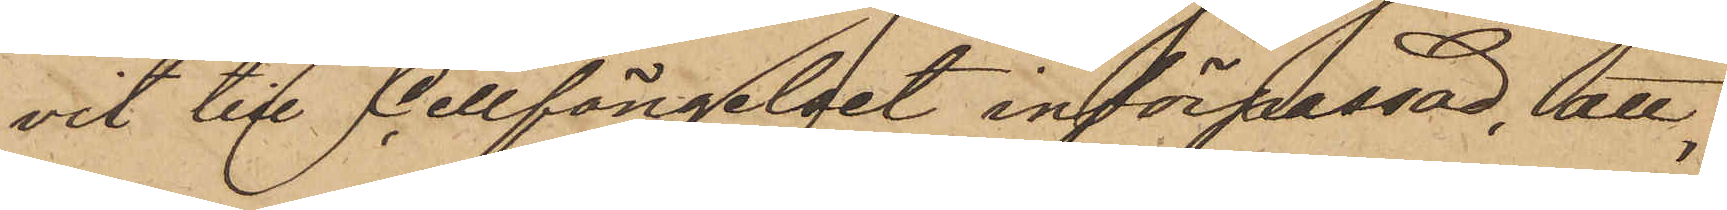vit till Cellfängelset införpassad, att
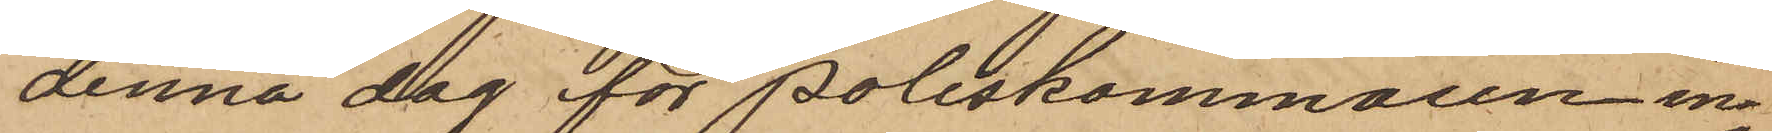denna dag för Poliskammaren in¬
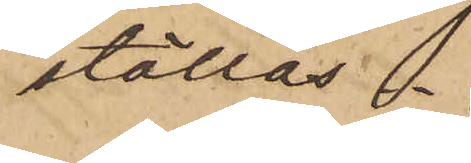ställas.
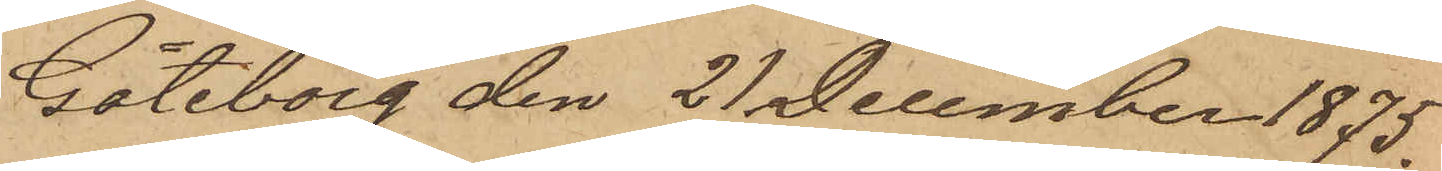Göteborg den 21 December 1875.
